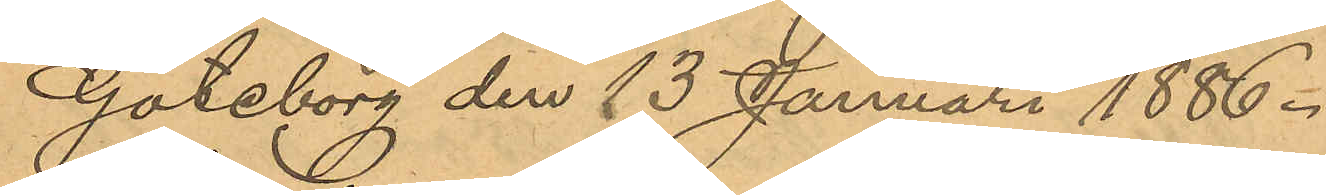Göteborg den 13 Januari 1886.
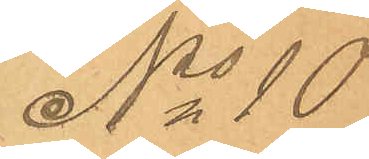No 10
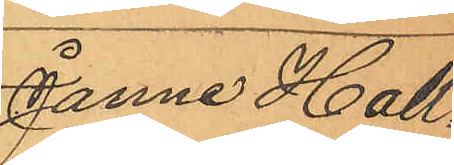Janne Hall¬
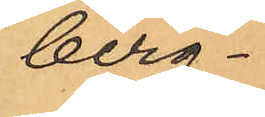berg.
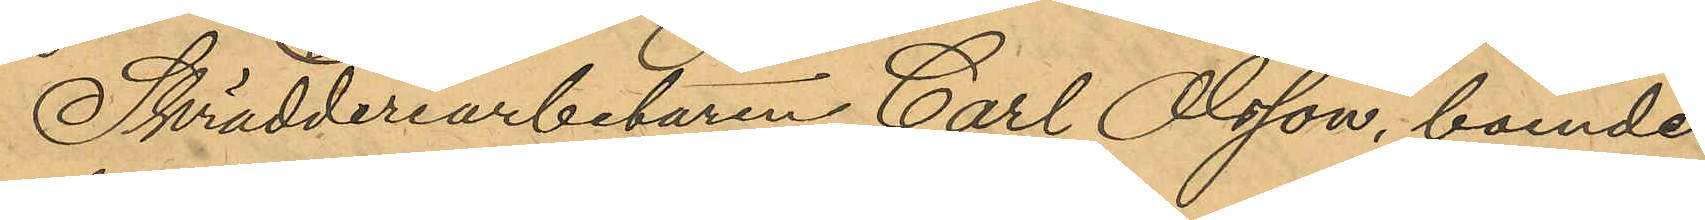Skrädderiarbetaren Carl Olsson, boende
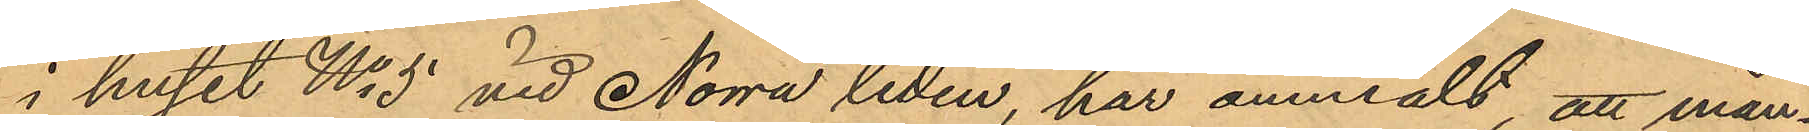i huset No 5 vid Norra liden, har anmält, att mån¬
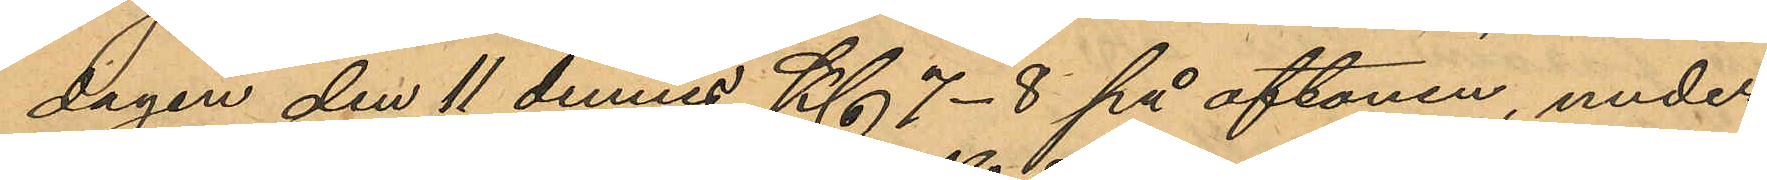dagen den 11 dennes Kl 7-8 på aftonen, under
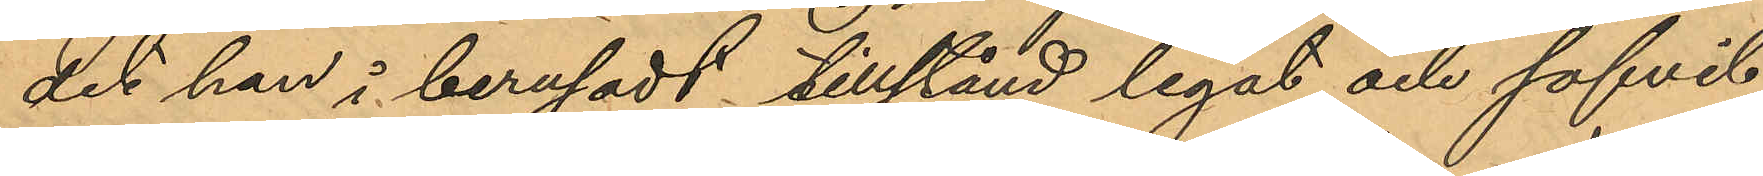det han i berusadt tillstånd legat och sofvit
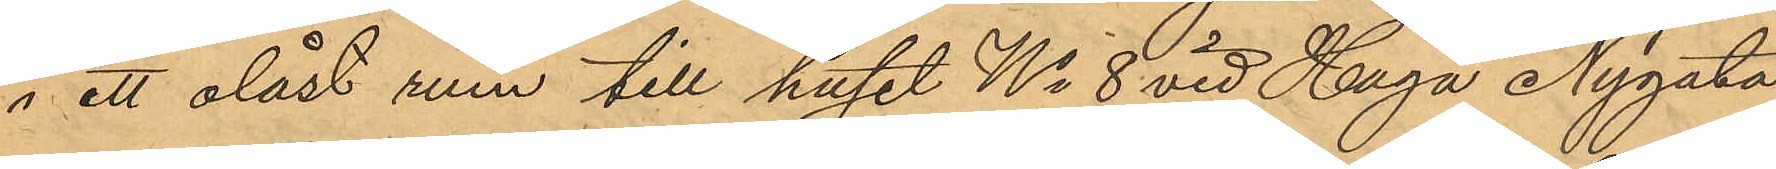i ett olåst rum till huset No 8 vid Haga Nygata
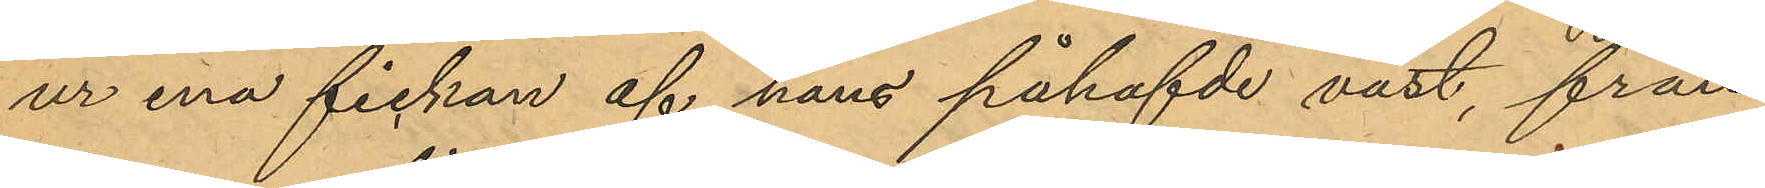ur ena fickan af hans påhafvde väst, från
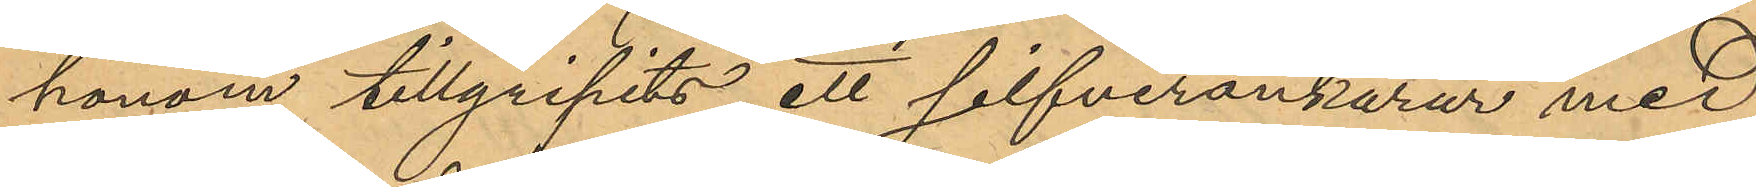honom tillgripits ett silfverankarur med
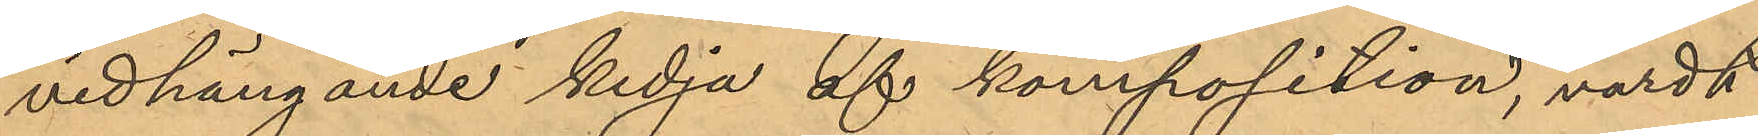vidhängande kedja af komposition, värdt
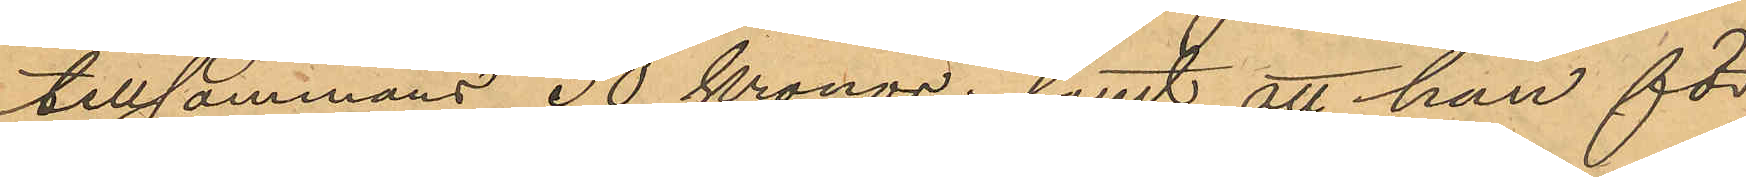tillsammans 30 Kronor; samt att han för
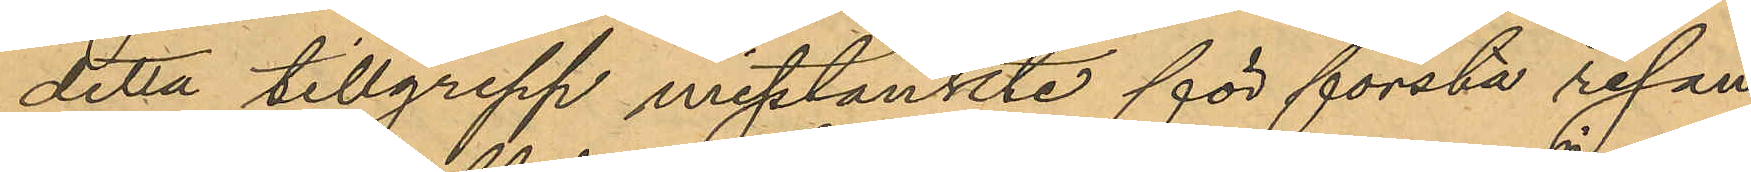detta tillgrepp misstänkte för första resan
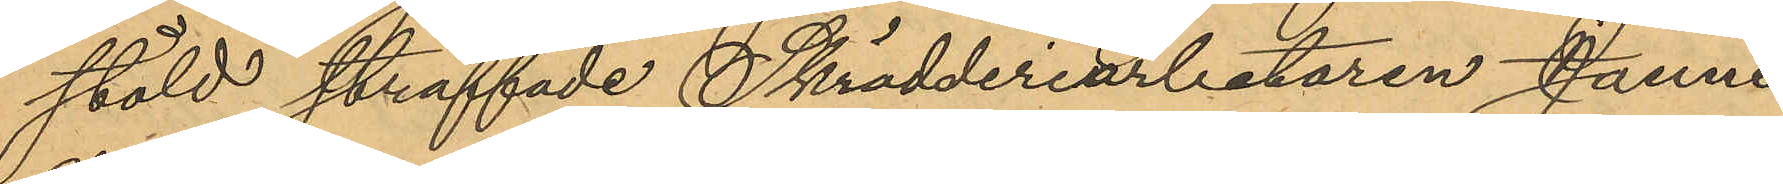stöld straffade Skrädderiarbetaren Janne
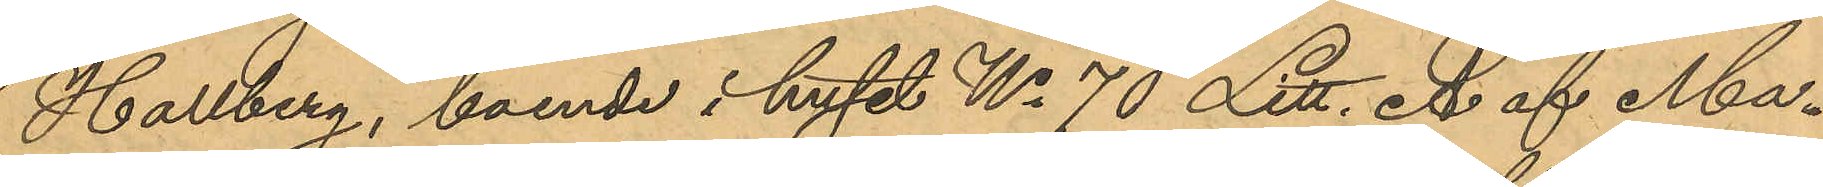Hallberg, boende i huset No 70 Litt. A af Ma¬
